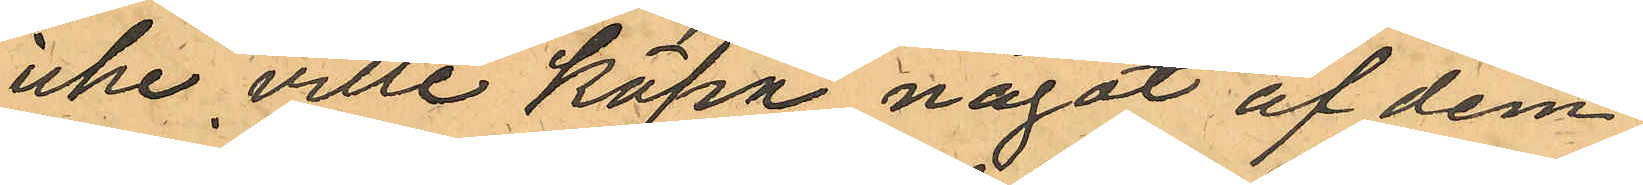icke ville köpa något af dem.
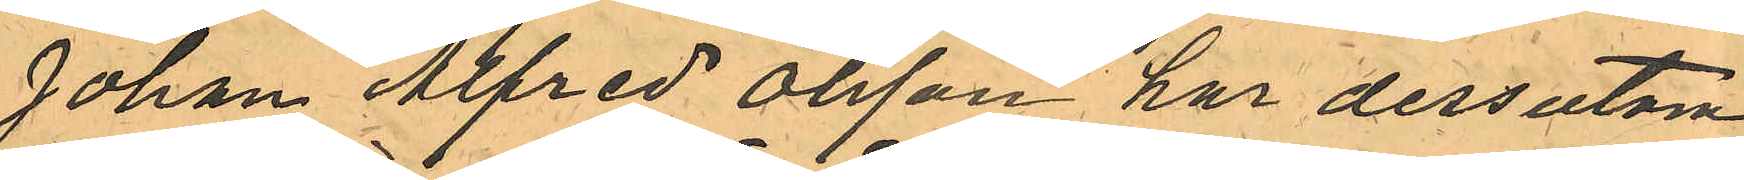Johan Alfred Olsson har dessutom
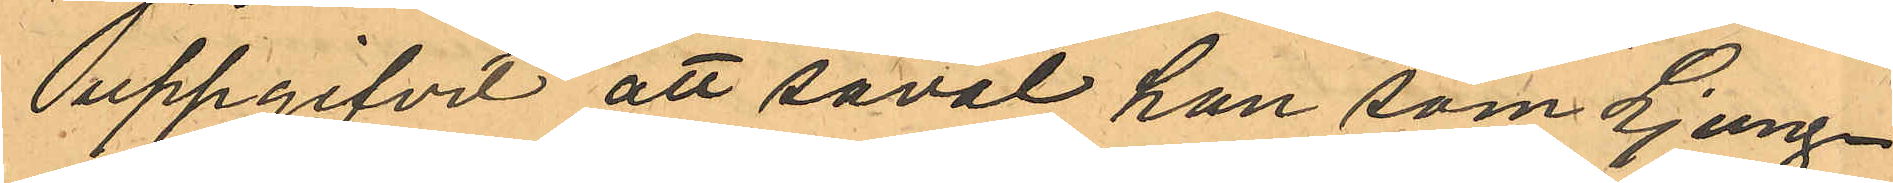uppgifvit att såväl han som Ljung¬
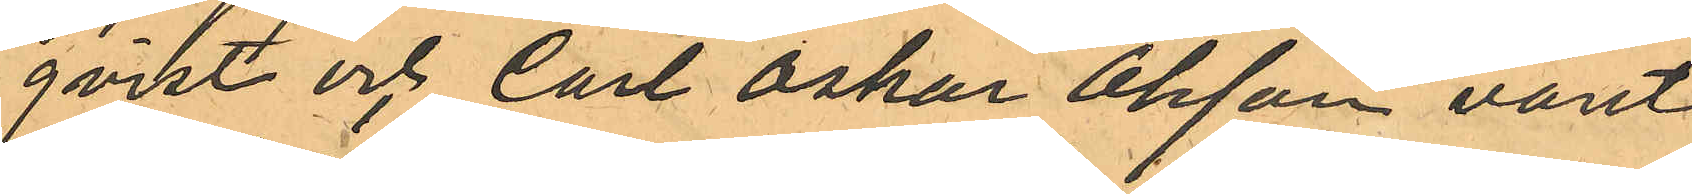qvist och Carl Oslar Olsson varit
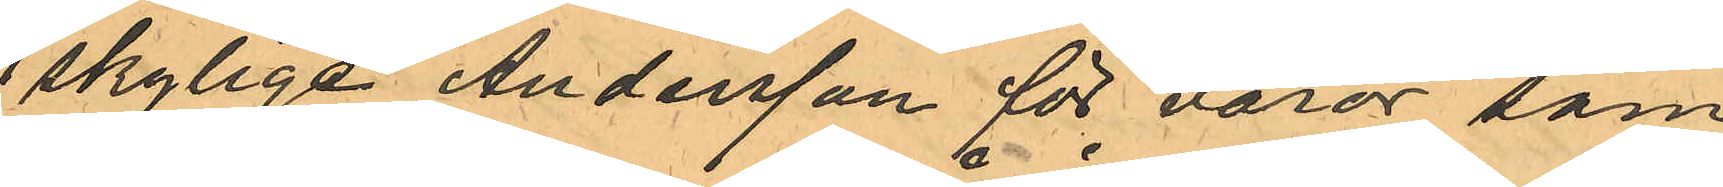skylige Andersson för varor, som
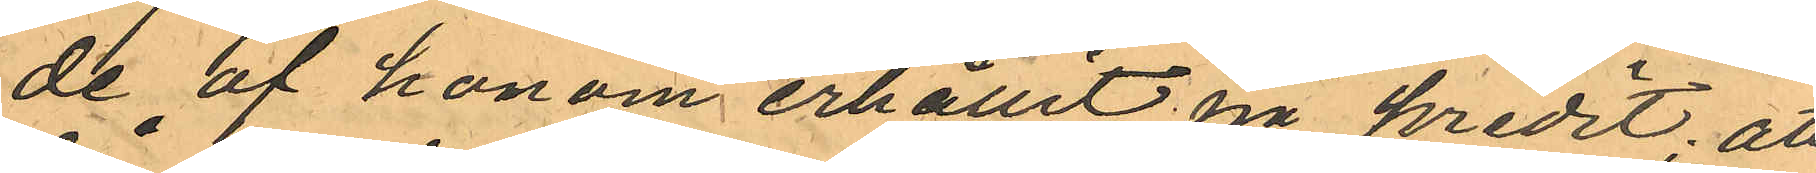de af honom erhållit på kredit, att
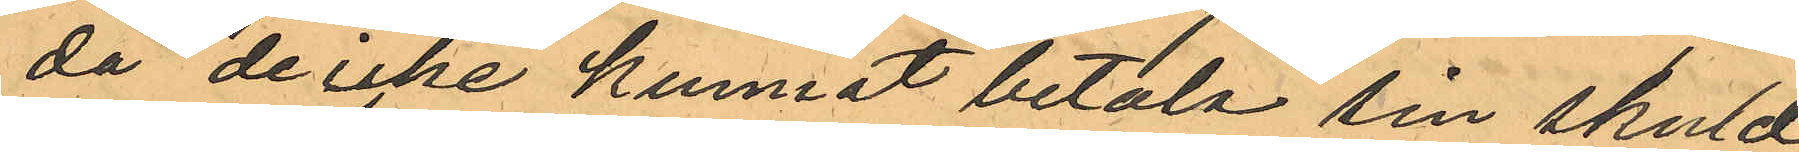då de icke kunnat betala sin skuld
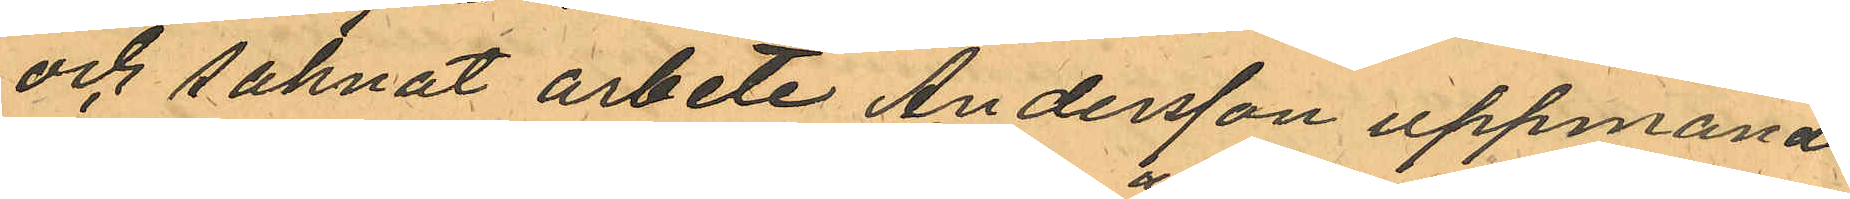och saknat arbete Andersson uppmant 
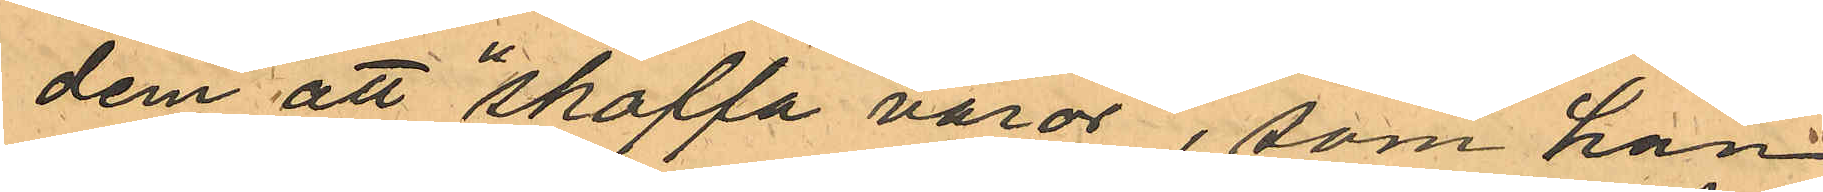dem att "skaffa varor", som han
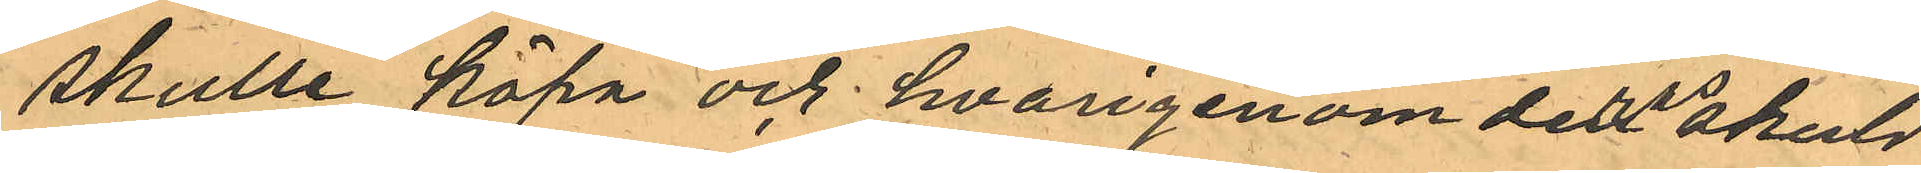skulle köpa och hvarigenom deras skuld
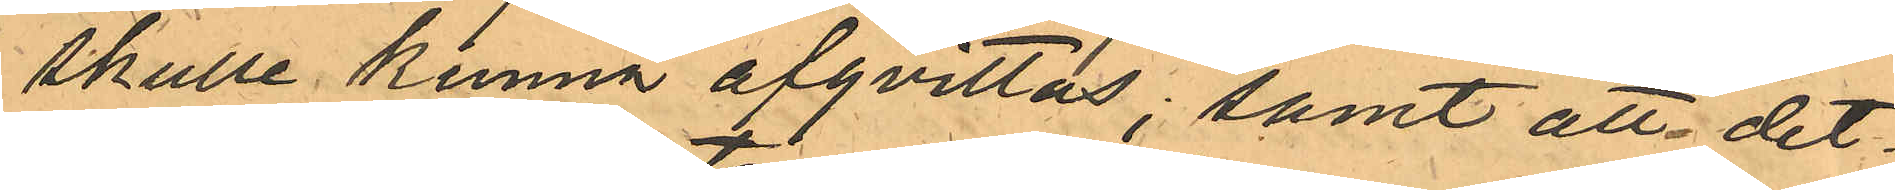skulle kunna afqvittas, samt att det¬
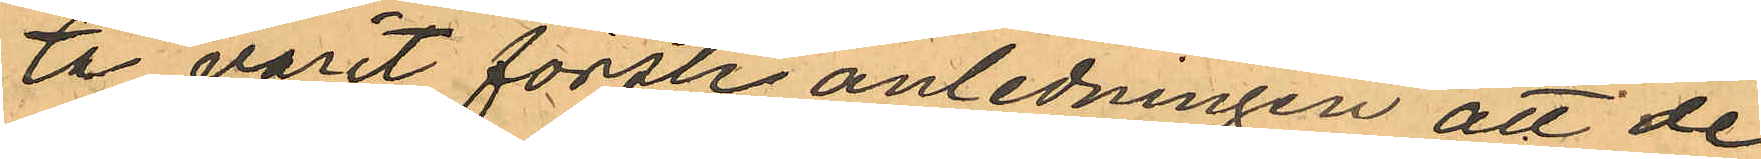ta varit första anledningen att de
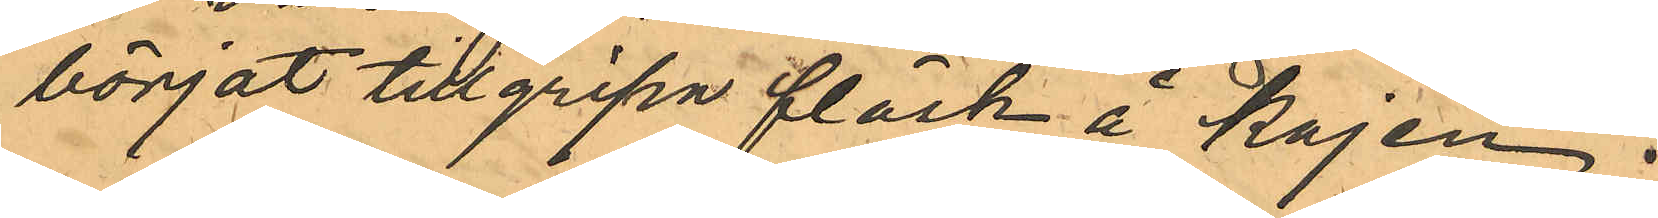börjat tillgripa fläsk å Kajen.
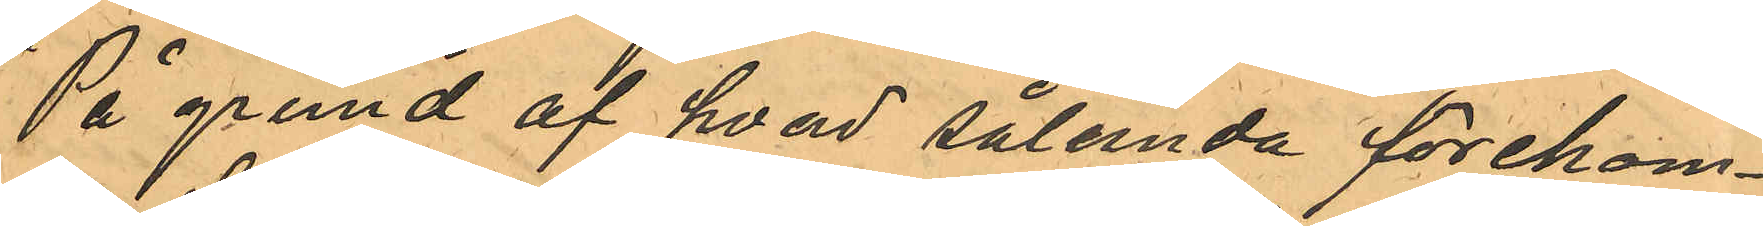På grund af hvad sålunda förekom¬
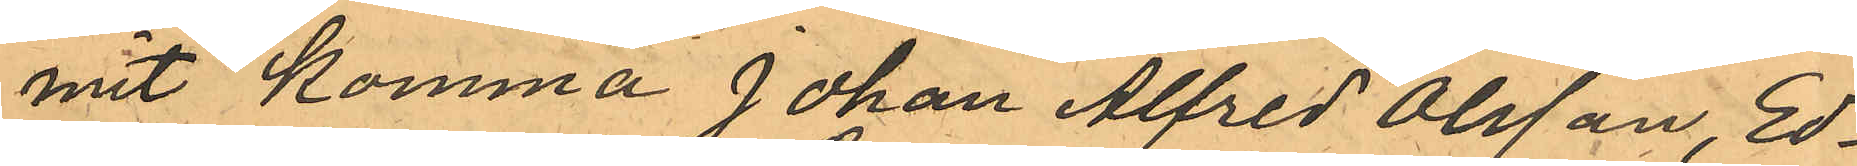mit komma Johan Alfred Olsson, Ed¬
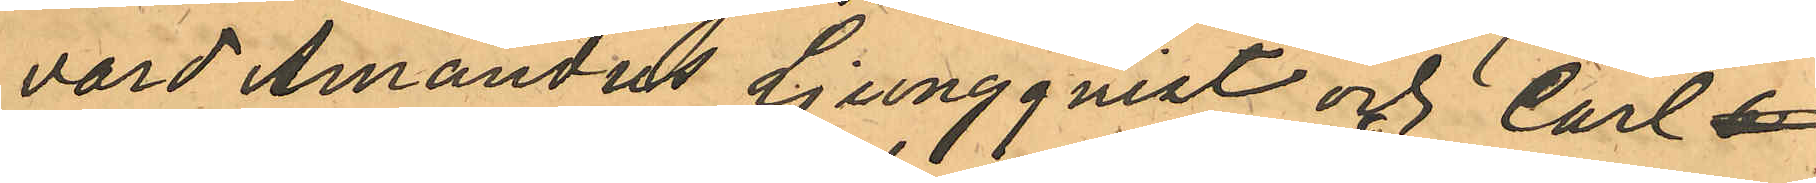vard Amandus Ljungquist och Carl O
